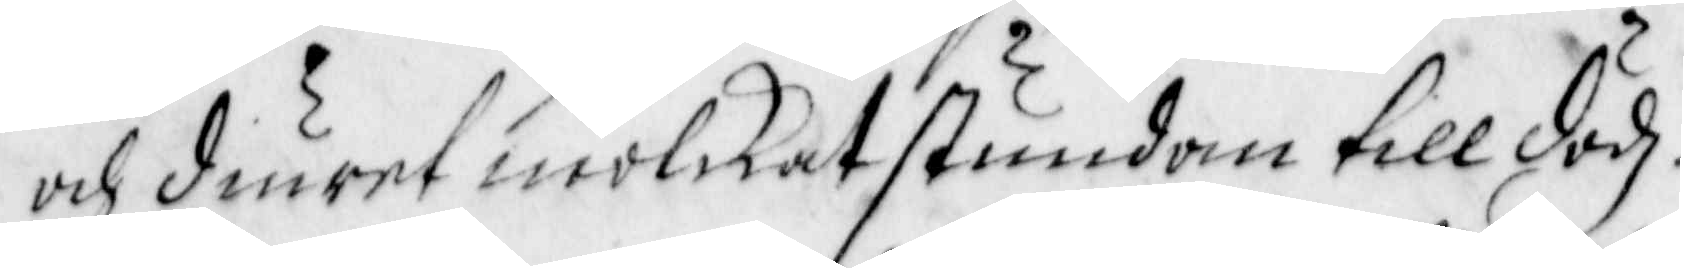och diuret miölkat stundom till dödz.
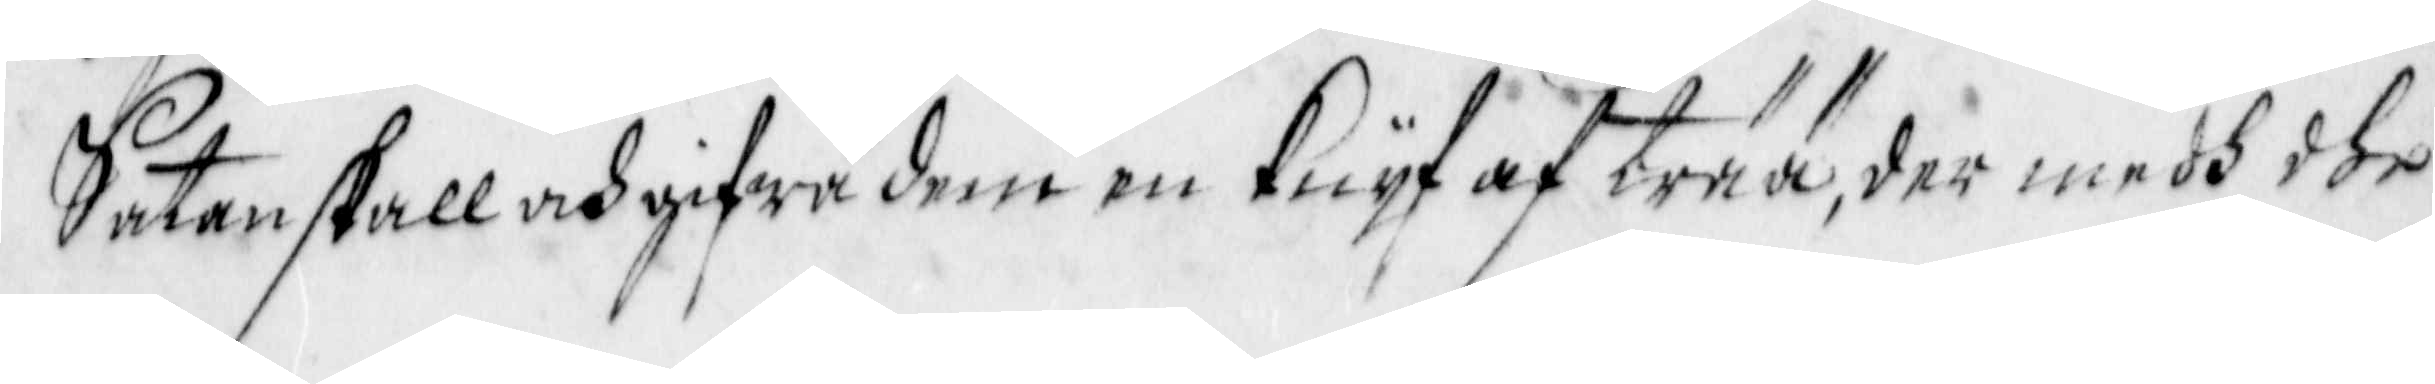Satan skall och gifwa dem en Knyf av trää, der med dhe
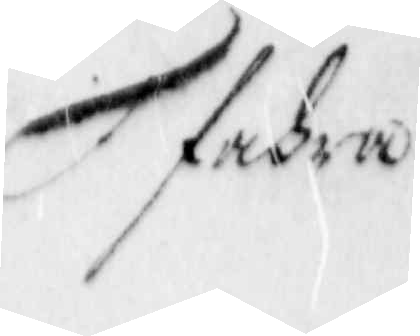fahra
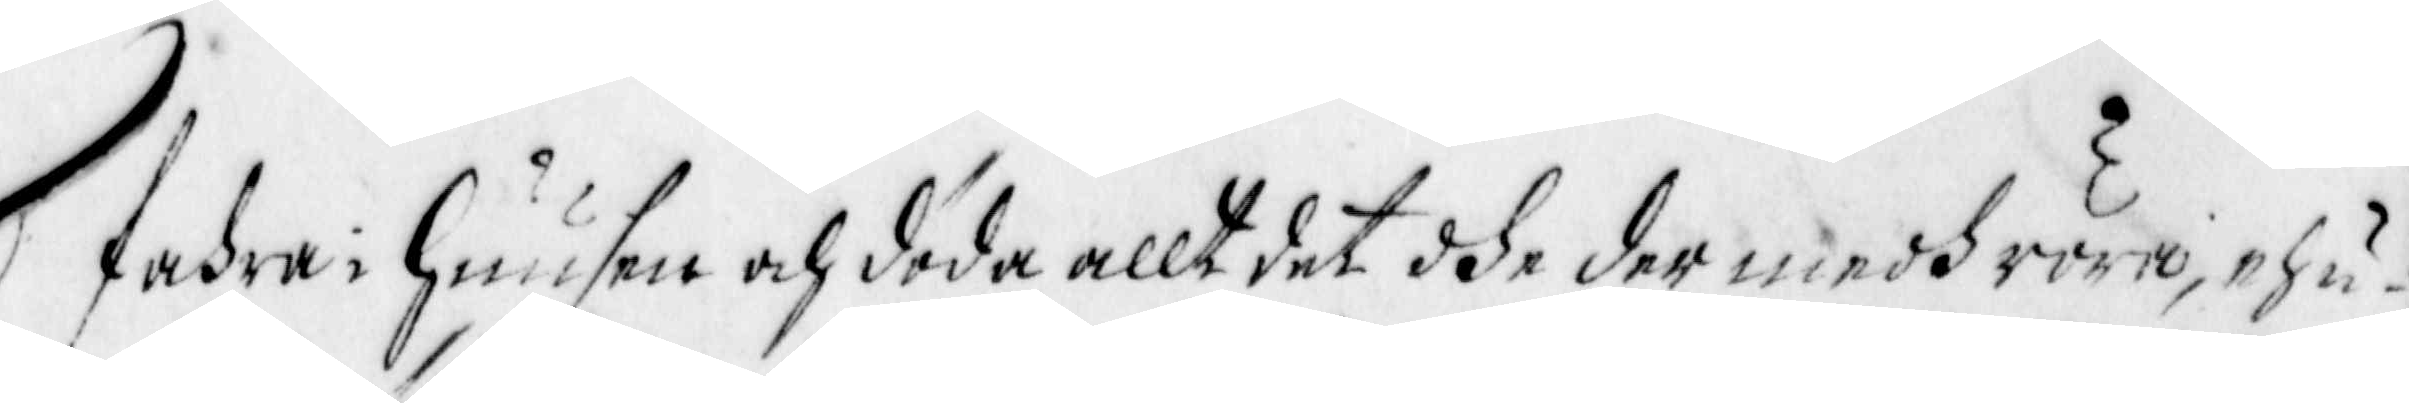fahra i Huusen och döda allt det dhe der medh röra, ehu¬
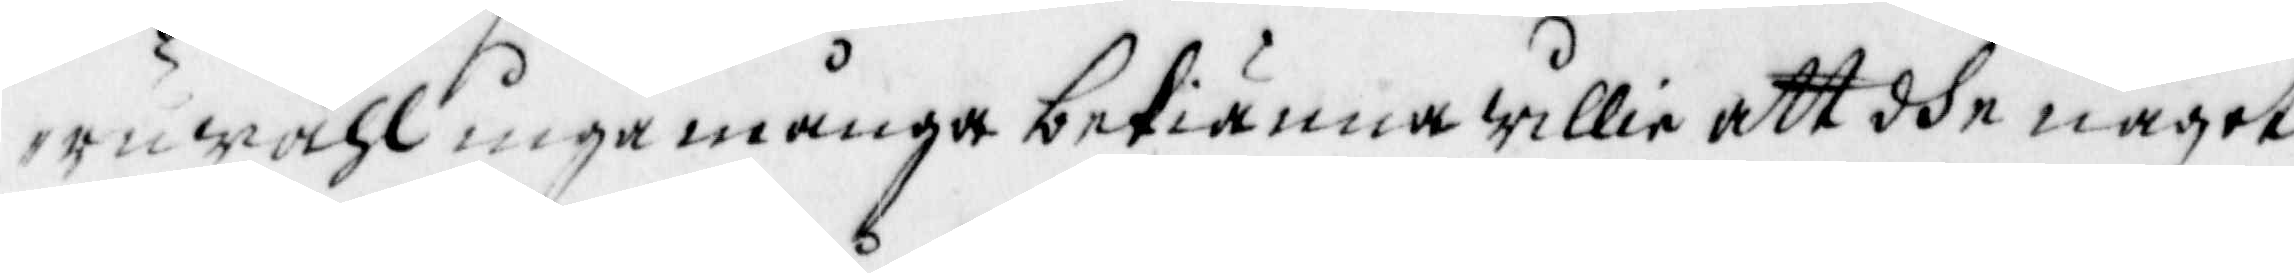ruwähl inga många bekiänna willia att dhe något
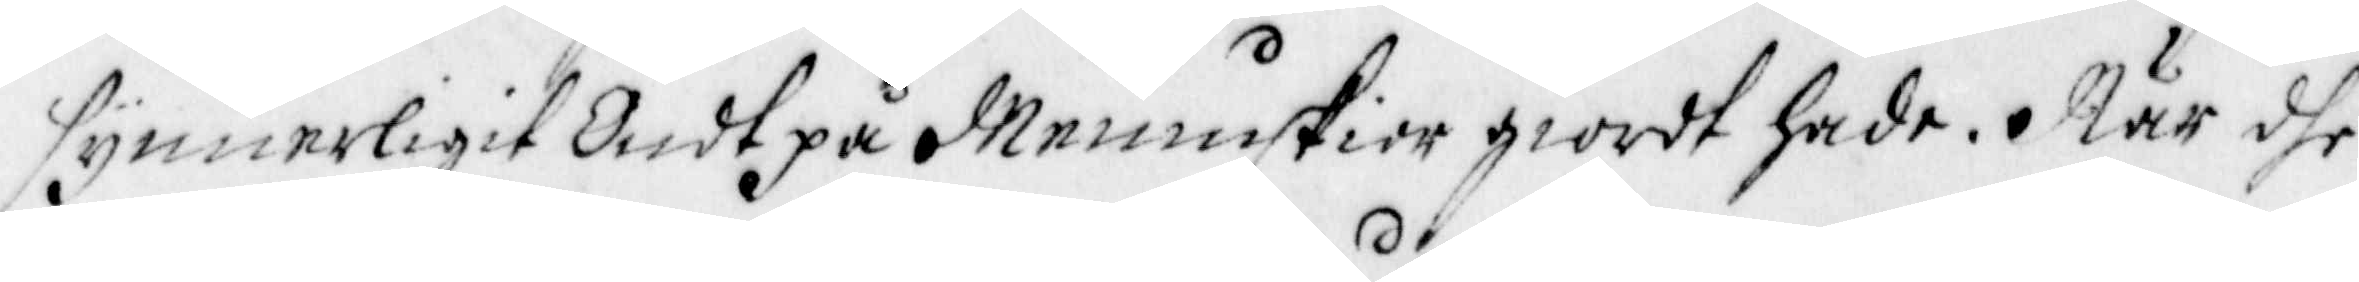synnerligit Ondt på Menniskior giordt hade. När dhe
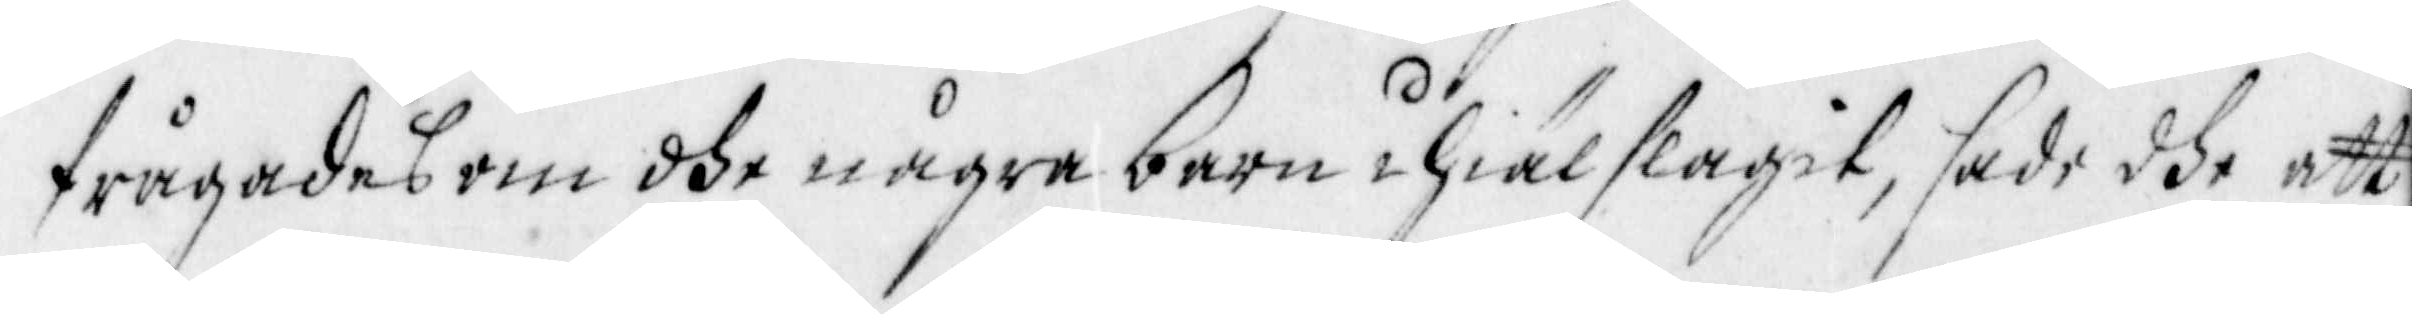frågades om dhe några barn ihiälslagit, sade dhe att
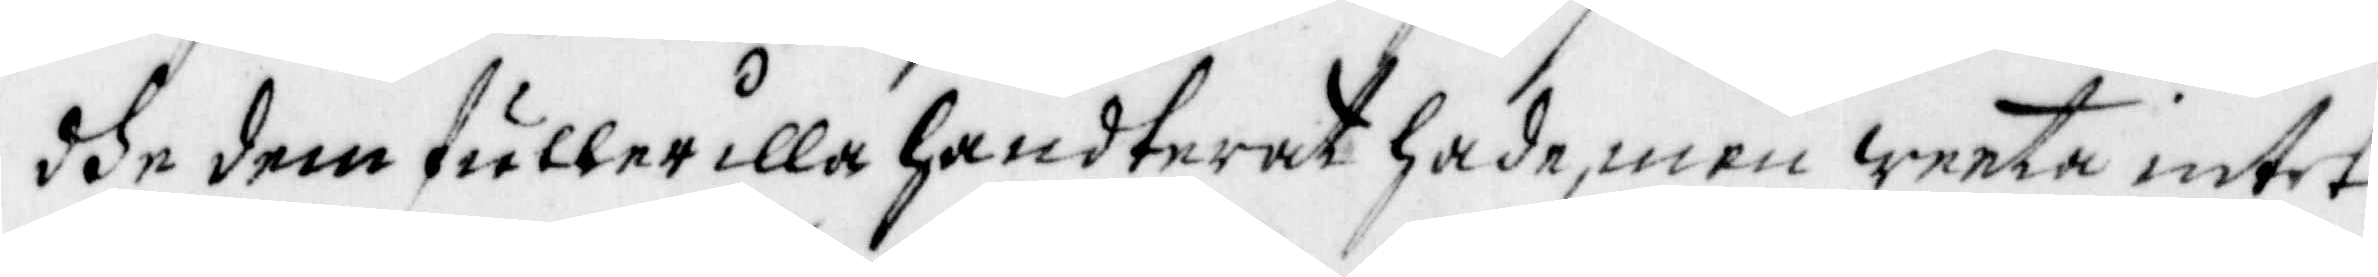dhe dem fuller illa handrerat hade, men weeta intet
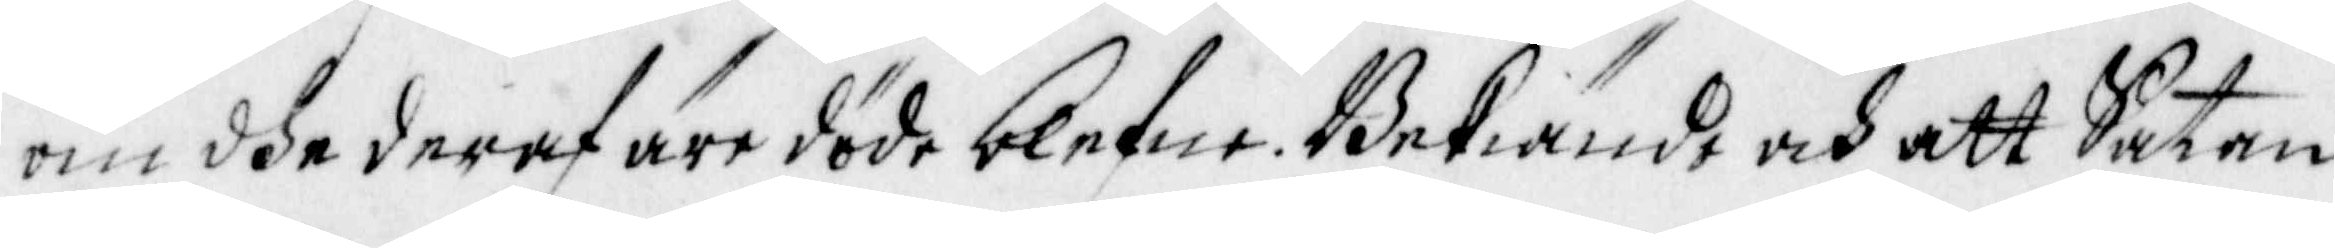om dhe deraf äre döde blefne. Bekiände och att Satan
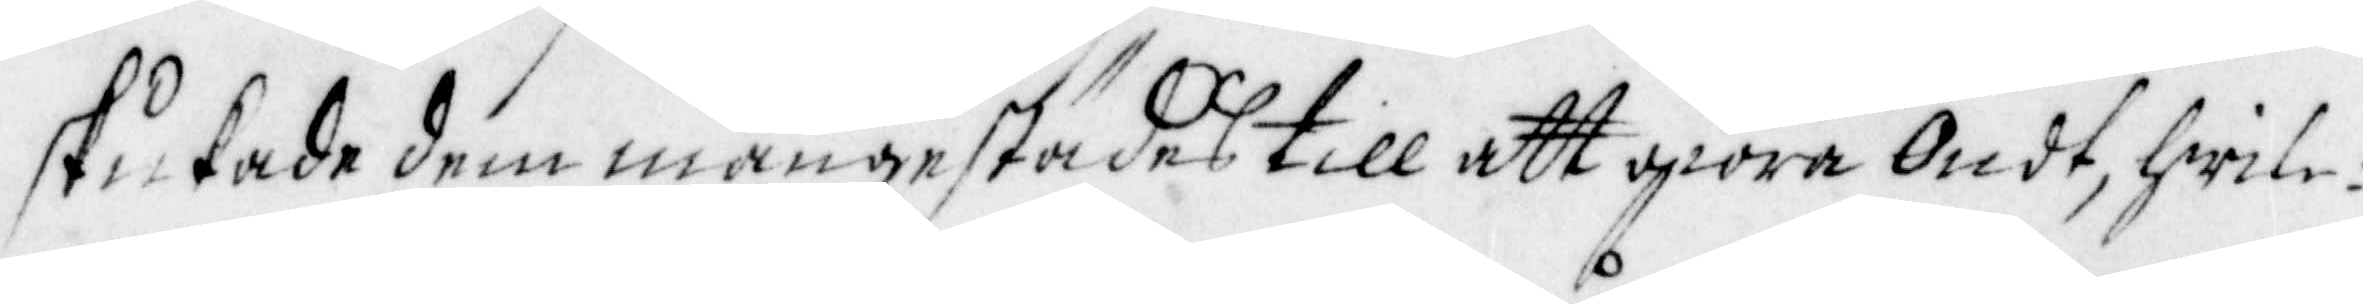stukade dem mångestädes till att giöra Ondt, hwil¬
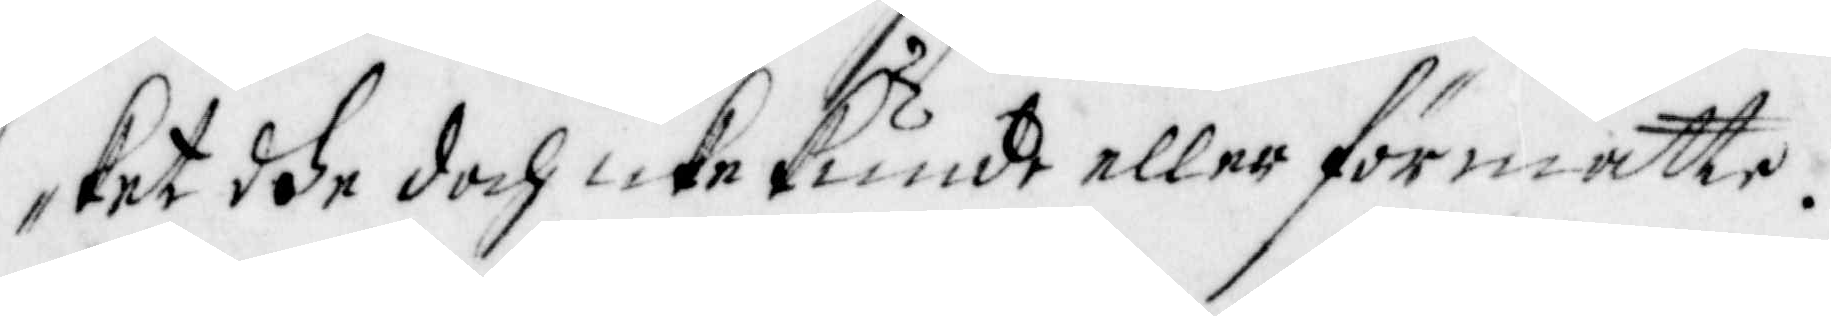ket dhe doch icke kunde eller förmåtte.
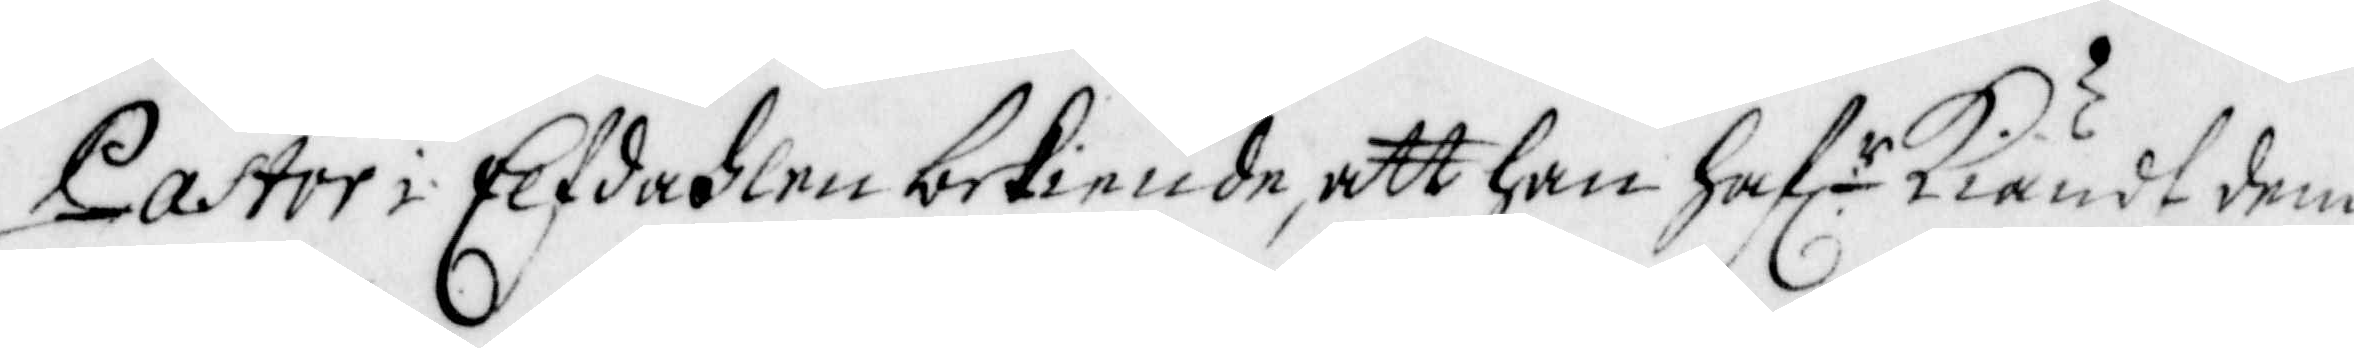Pastor i Elfdahlen bekiende, att han haf. r kiändt dem
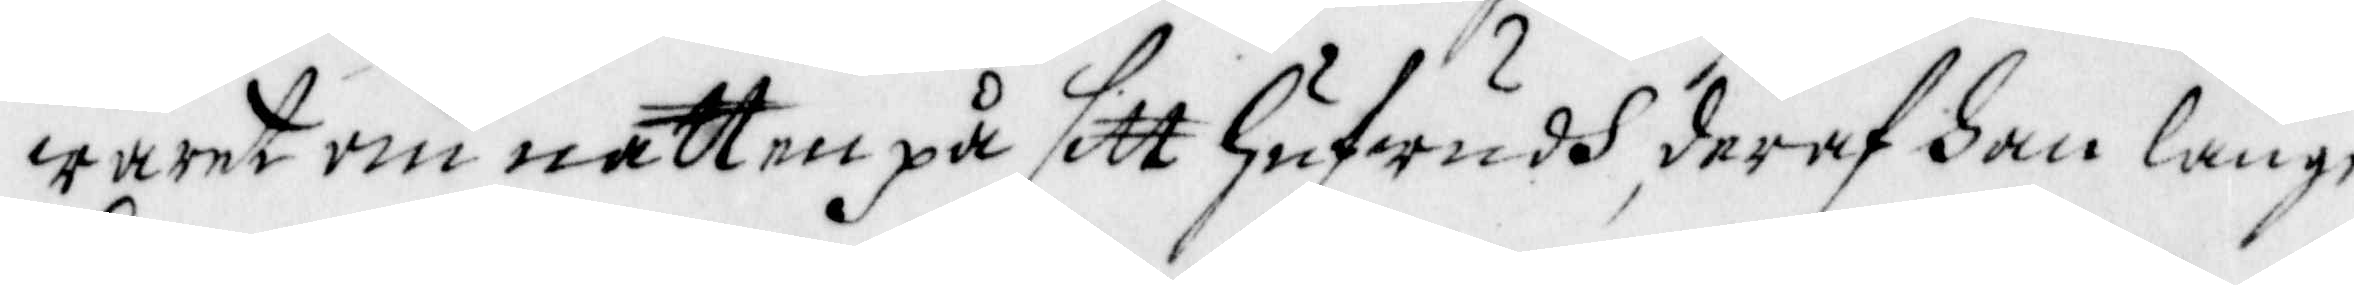warit om natten på sitt hufwudh, deraf han länge
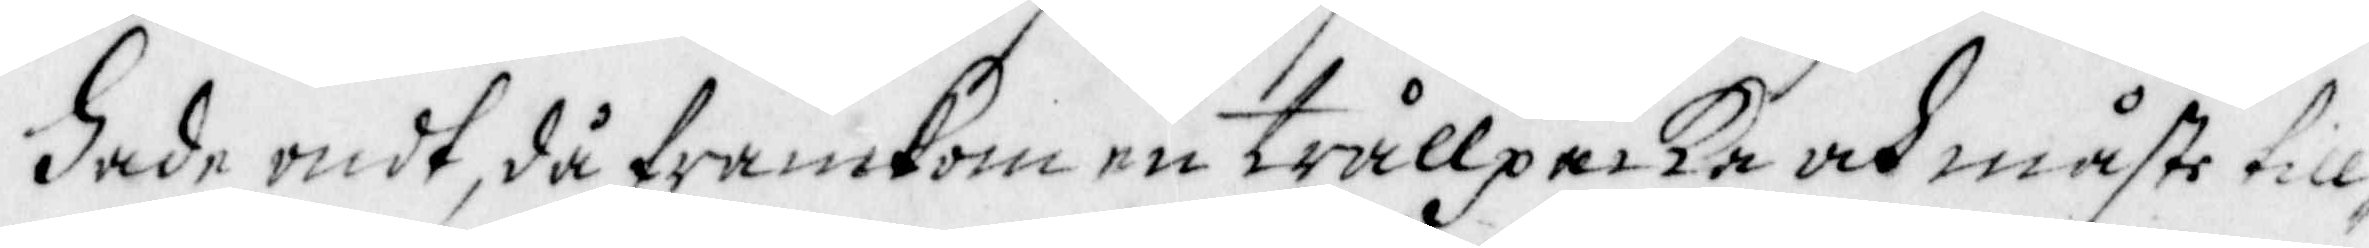hade ondt, då framkom en trållpacka och måste till¬
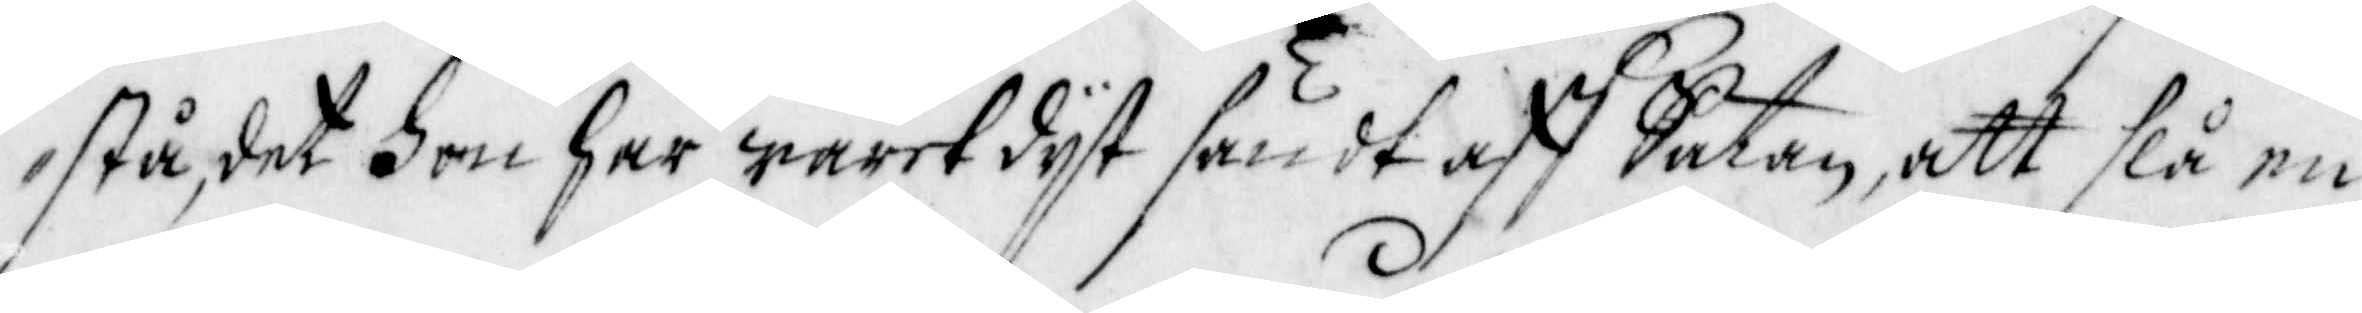stå, det hon har waret dyt sändt aff Satan, att slå en
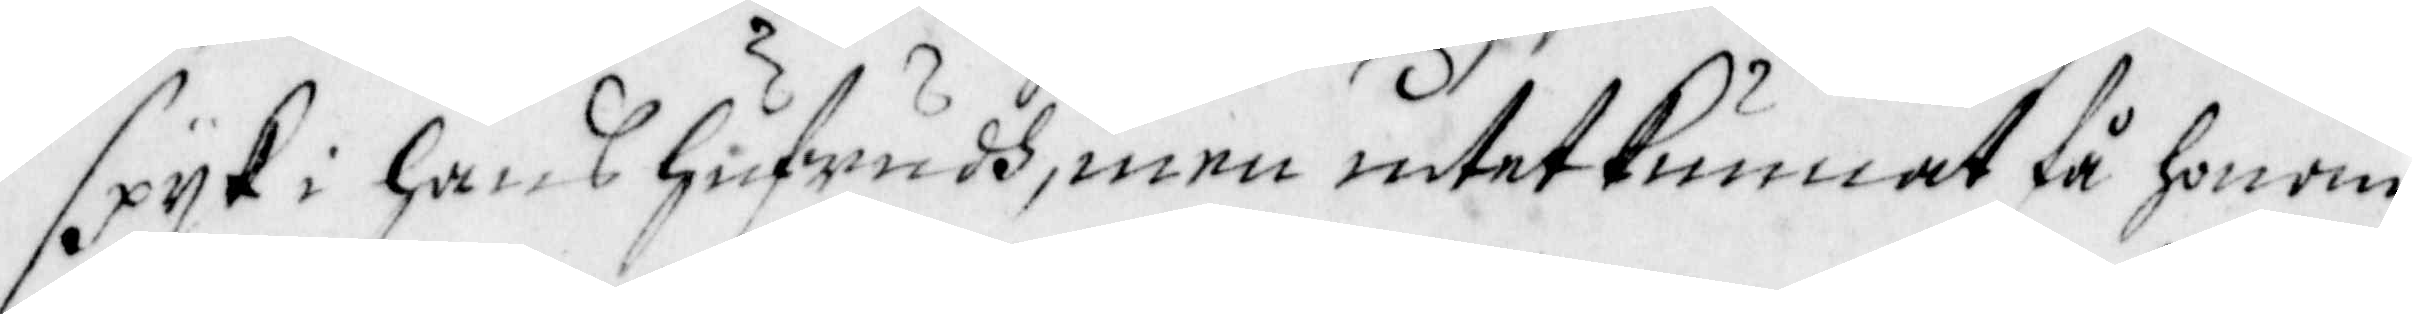spyk i hans hufwudh, men intet kunnat få honom
